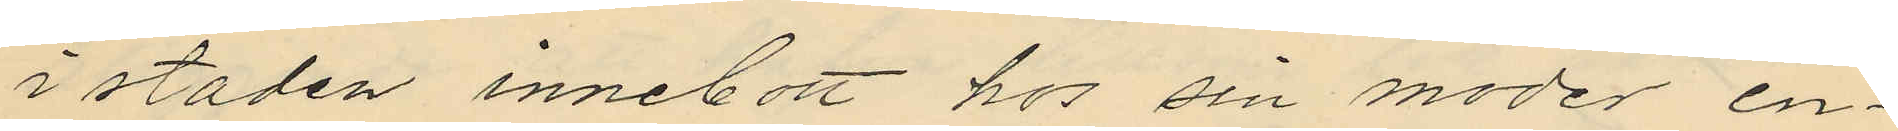i staden innebott hos sin moder en¬
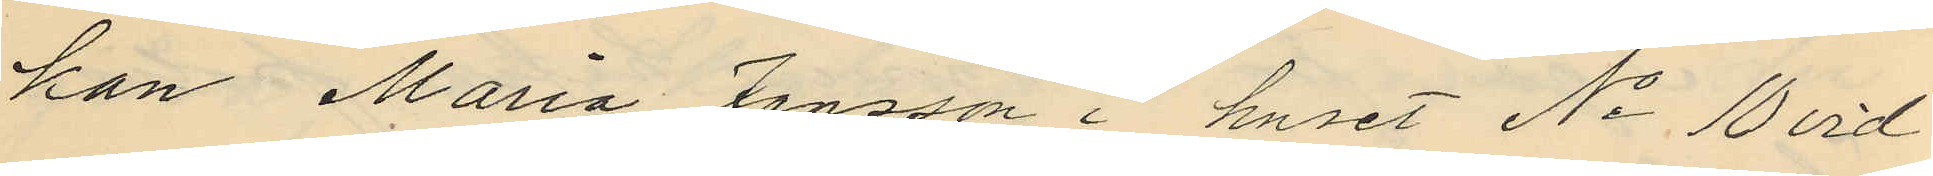kan Maria Jansson i huset No 10 vid
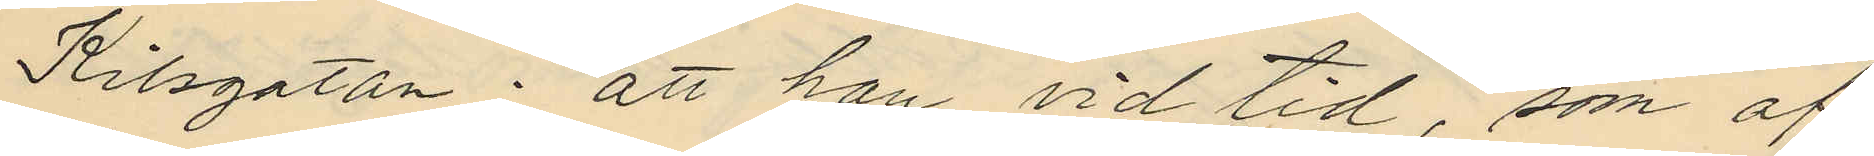Kilsgatan; att han vid tid, som af
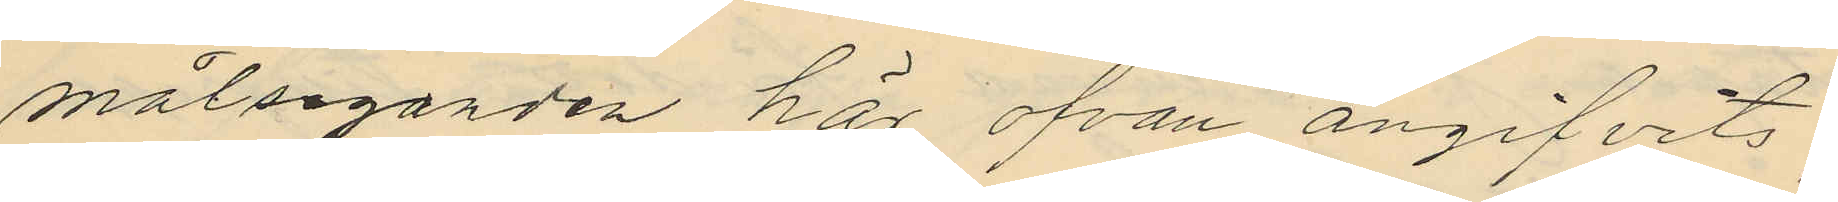målseganden här ofvan angifvits,
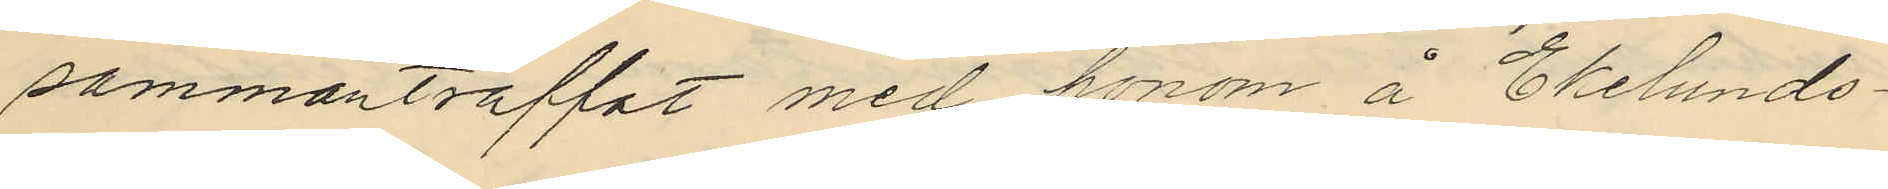sammanträffat med honom å Ekelunds¬
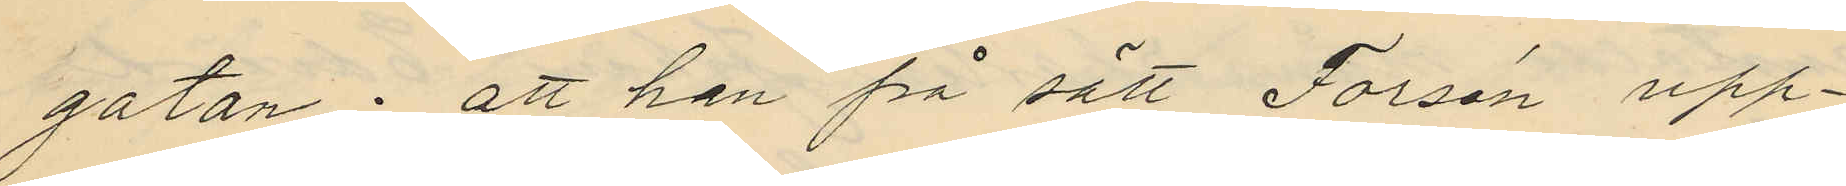gatan; att han på sätt Forsén upp¬
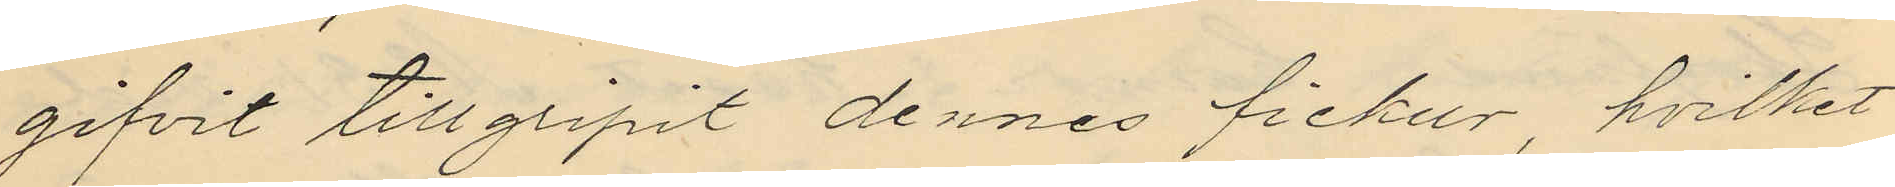gifvit tillgripit dennes fickur, hvilket
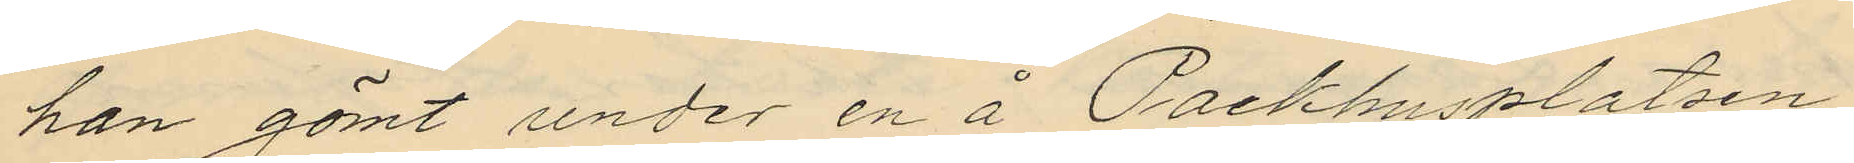han gömt under en å Packhusplatsen
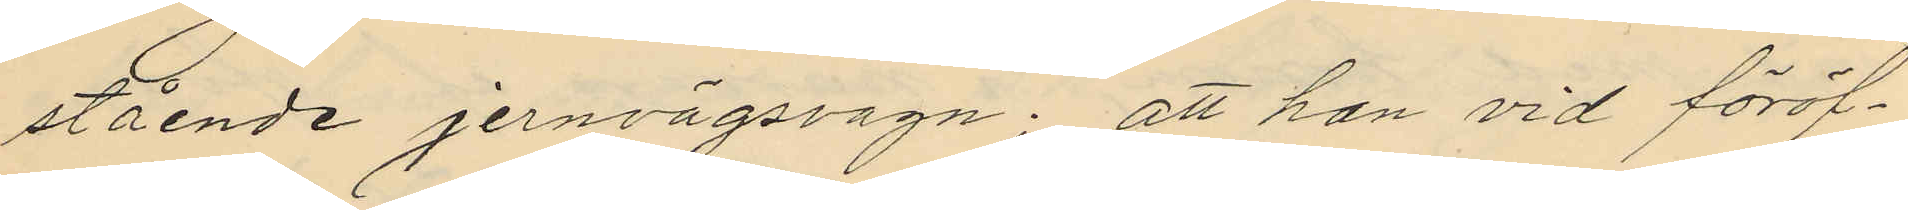stående jernvägsvagn; att han vid föröf¬
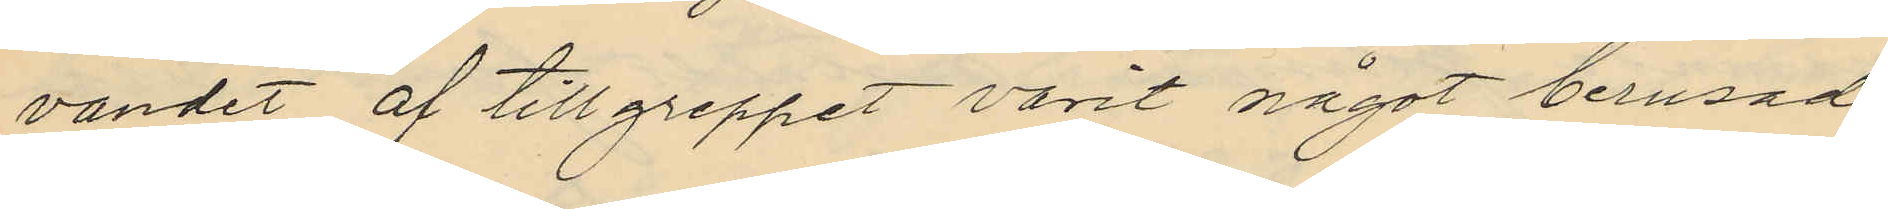vandet af tillgreppet varit något berusad
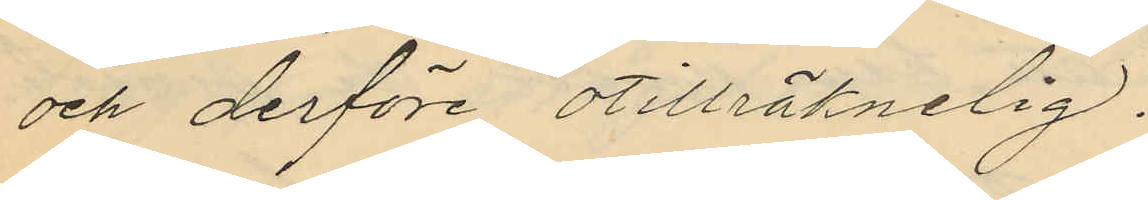och derföre otillräknelig.
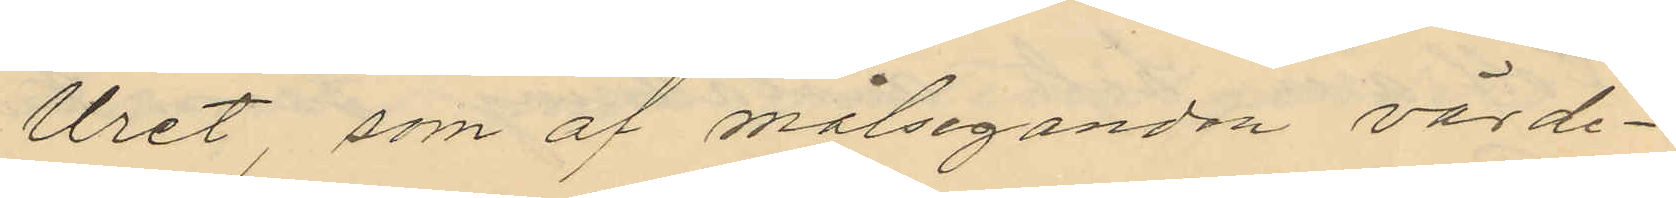Uret som af målseganden värde¬
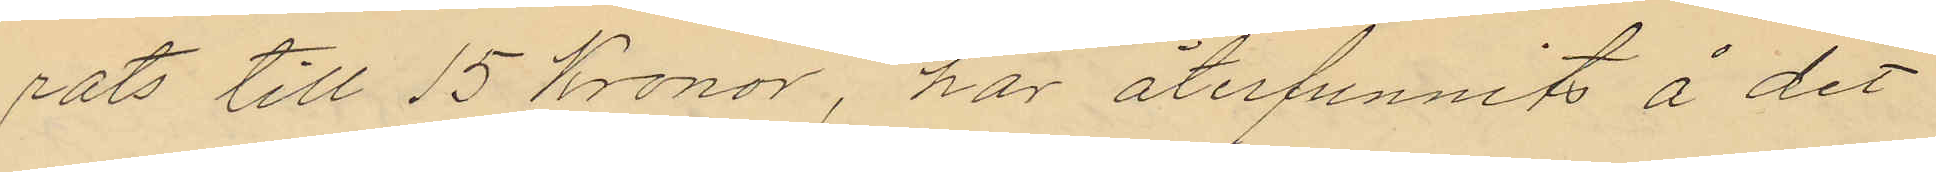rats till 15 Kronor, har återfunnits å det
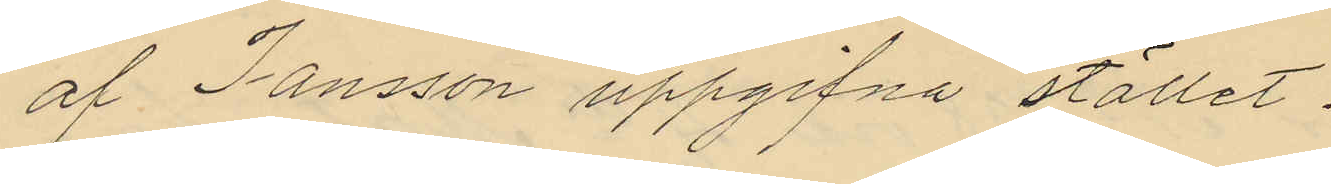af Jansson uppgifna stället.
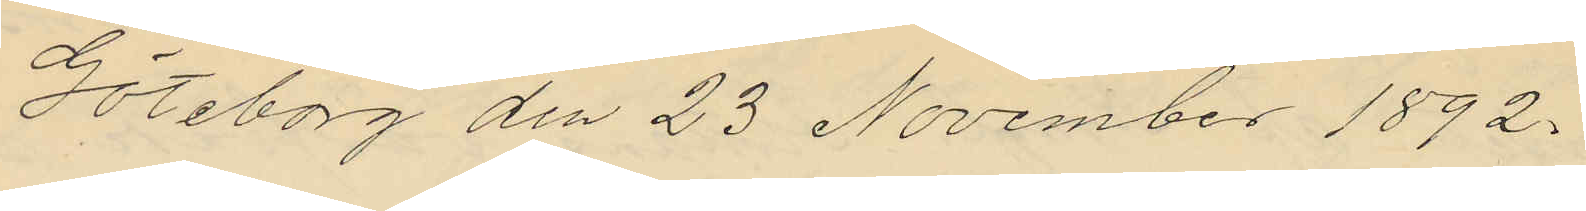Göteborg den 23 November 1892.
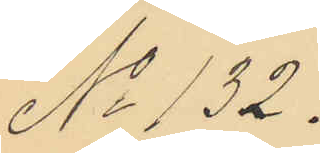No 132.
